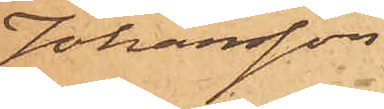Johansson
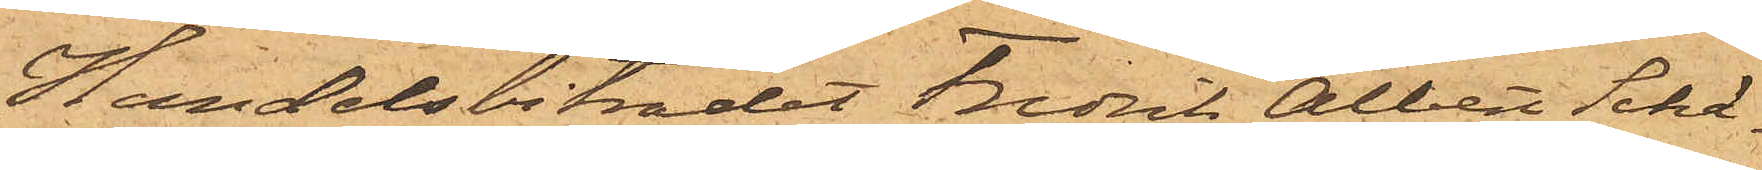Handelsbiträdet Fredrik Albert Schä¬
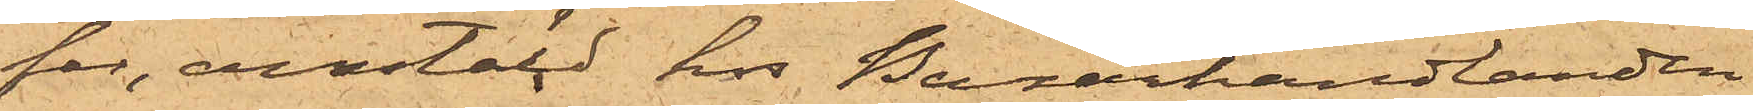fer, anstäld hos Bazarhandlanden
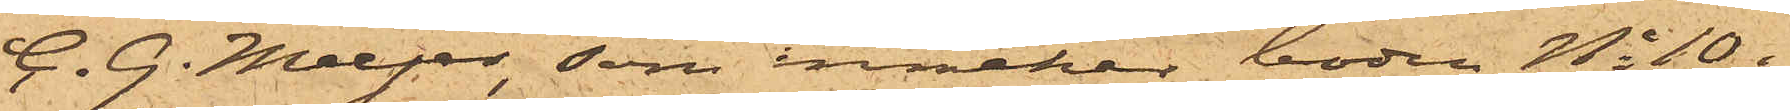C. G. Meyer, som innehar boden No 10 i
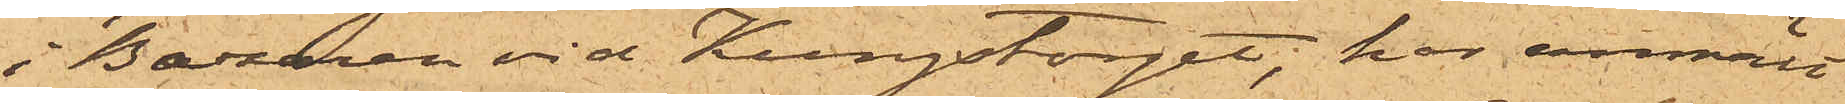i Bazaren vid Kungstorget, har anmält
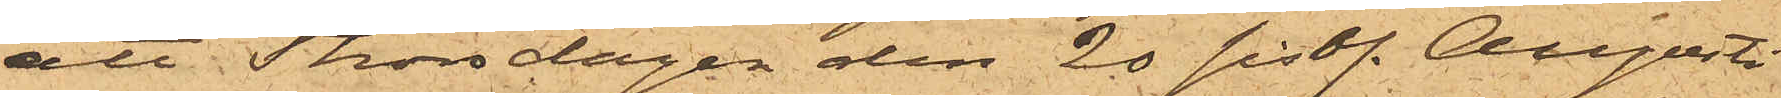att Thorsdagen den 20 sist. Augusti
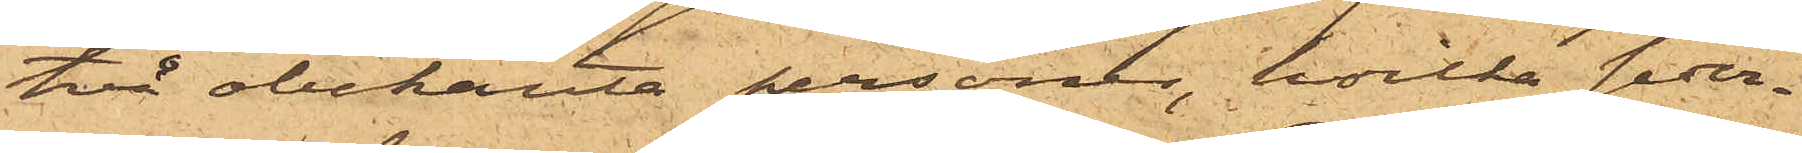två obekanta personer, hvilka seder¬
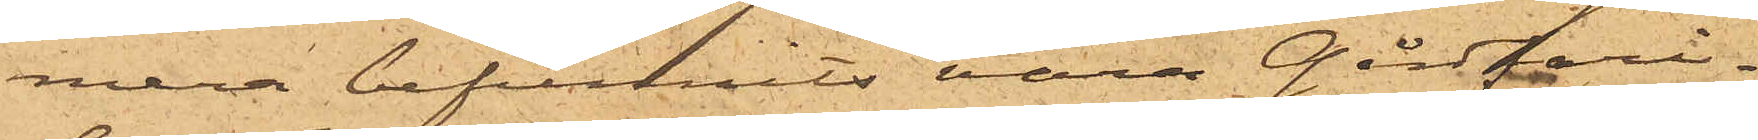mera befunnits vara Gårdfari¬
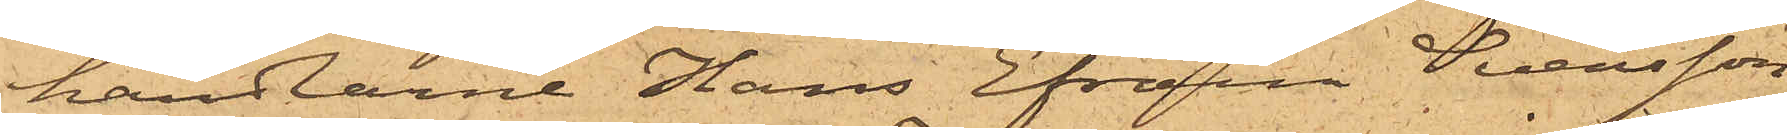handlarne Hans Efraim Svensson
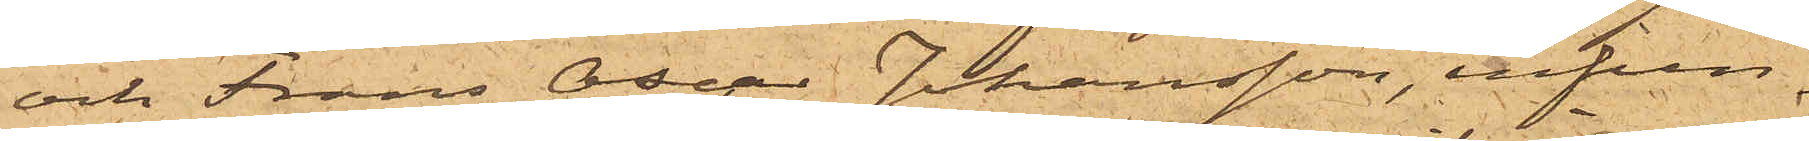och Frans Oscar Johansson, infun¬
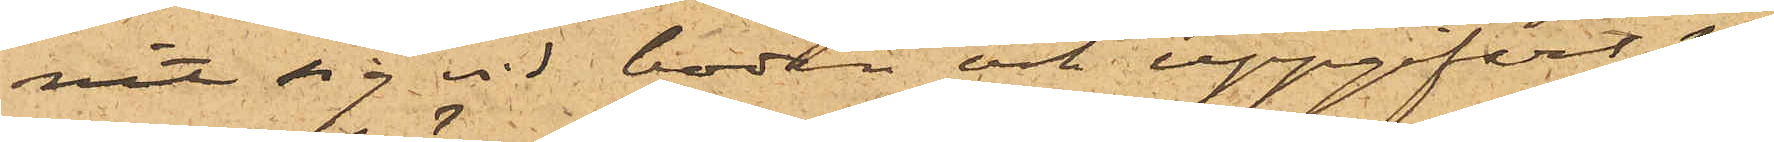nit sig vid boden och uppgifvit sig
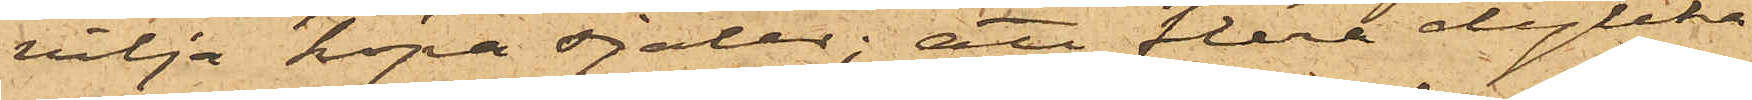vilja köpa sjalar; att flera dylika
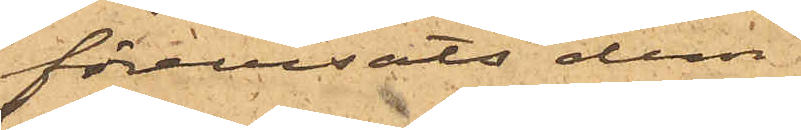förevisats dem.
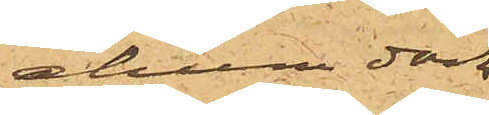ehuru dock
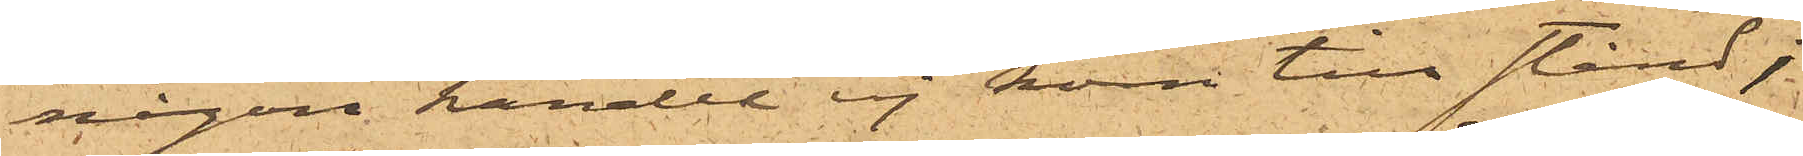någon handel ej kom till stånd;
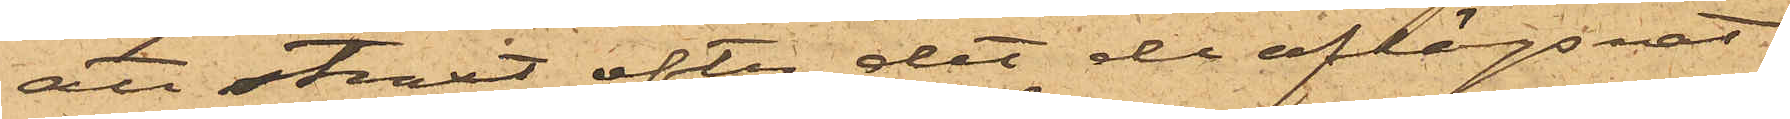att straxt efter det de aflägsnat
